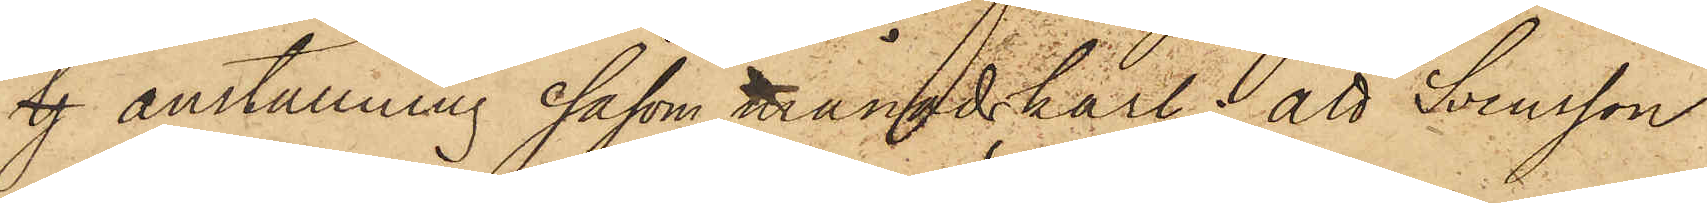lj anställning såsom månadskarl; att Svensson
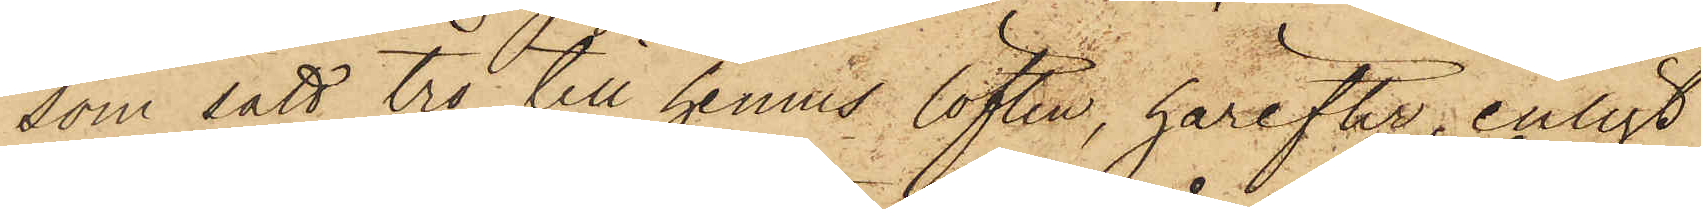som satt tro till hennes löften, härefter, enligt
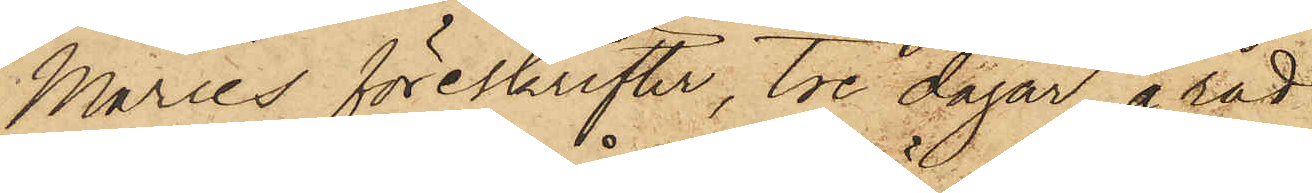Maries föreskrifter, tre dagar å rad
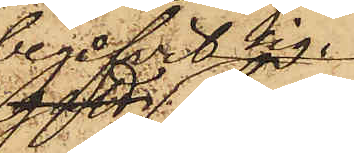begifvit sig
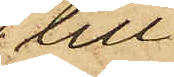till
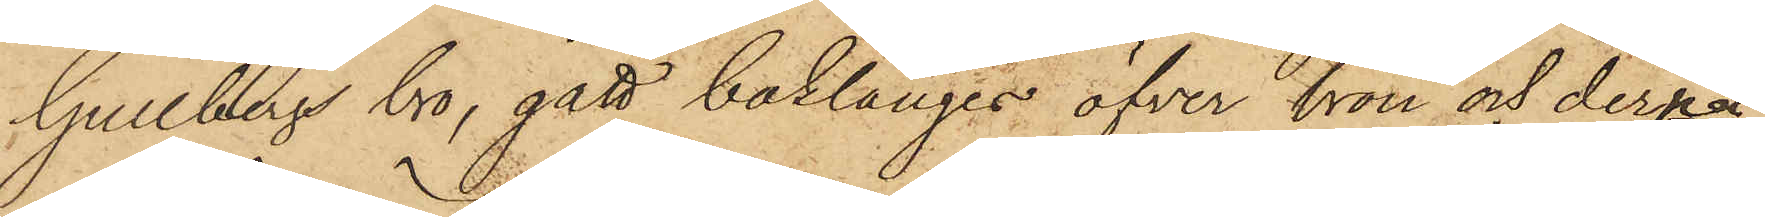Gullbergs bro, gått baklänges öfver bron och derpå
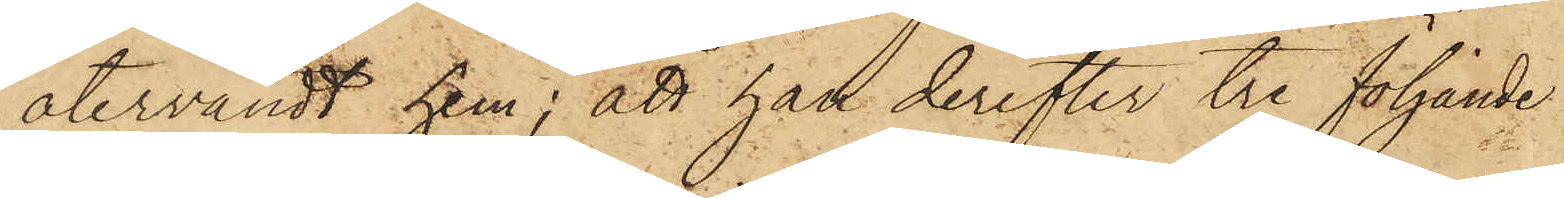återvändt hem; att han derefter tre följande
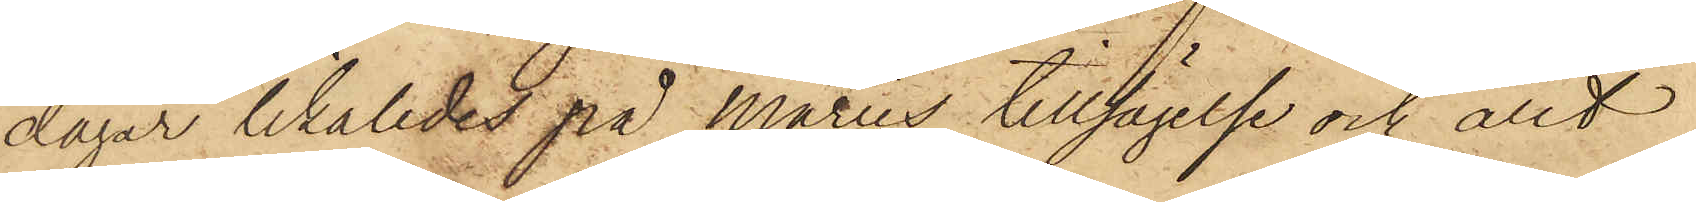dagar likaledes på Maries tillsägelse och allt
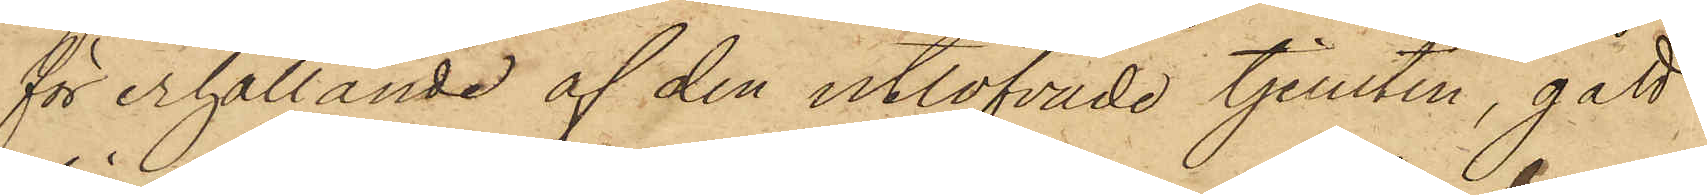för erhållande af den utlofvade tjensten, gått
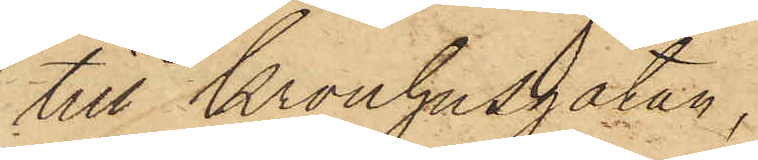till Kronhusgatan,
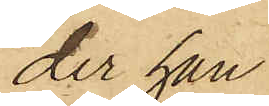der han
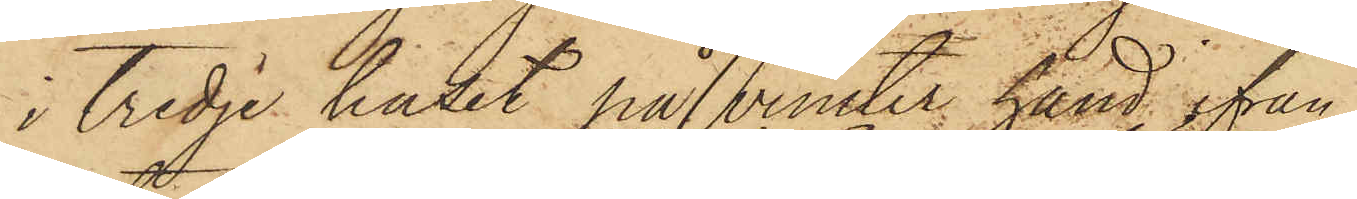i tredje huset på venster hand ifrån
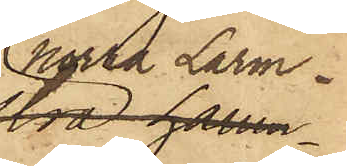Norra Larm¬
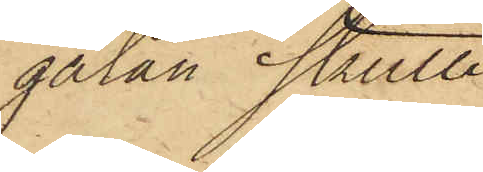gatan skulle
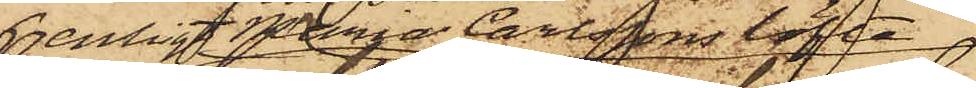enligt Marie Carlssons löfte
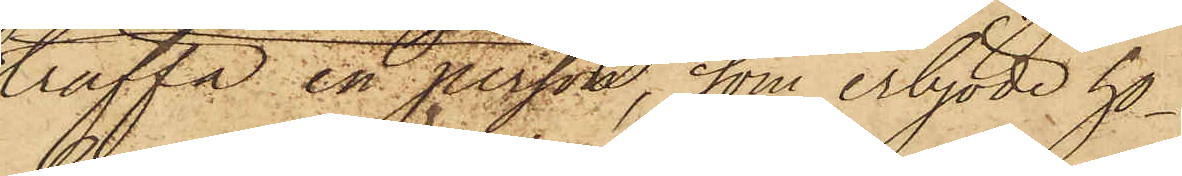träffa en person, som erbjöde ho¬
